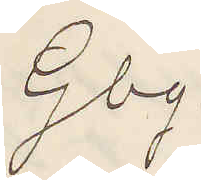Gbg.
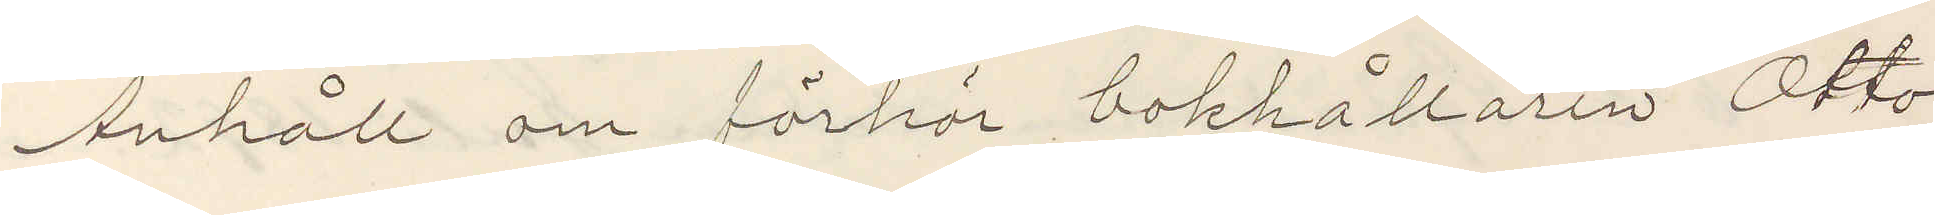Anhåll om förhör bokhållaren Otto
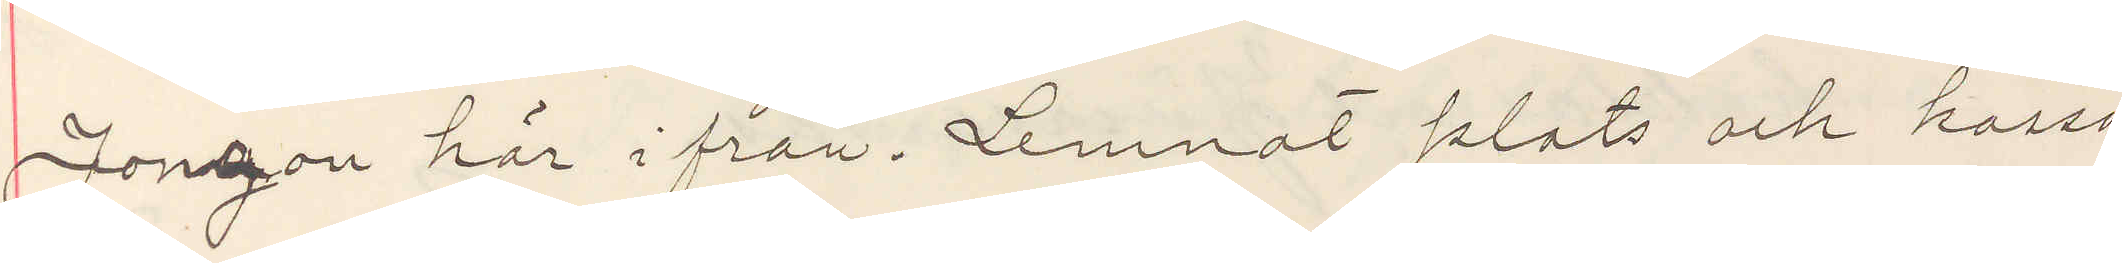Jonson här ifrån. Lemnat plats och kassa
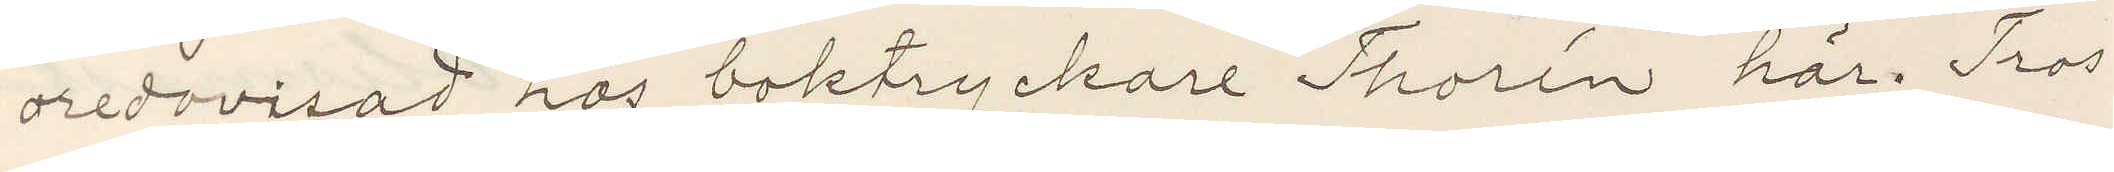oredovisad hos boktryckare Thorén här. Tros
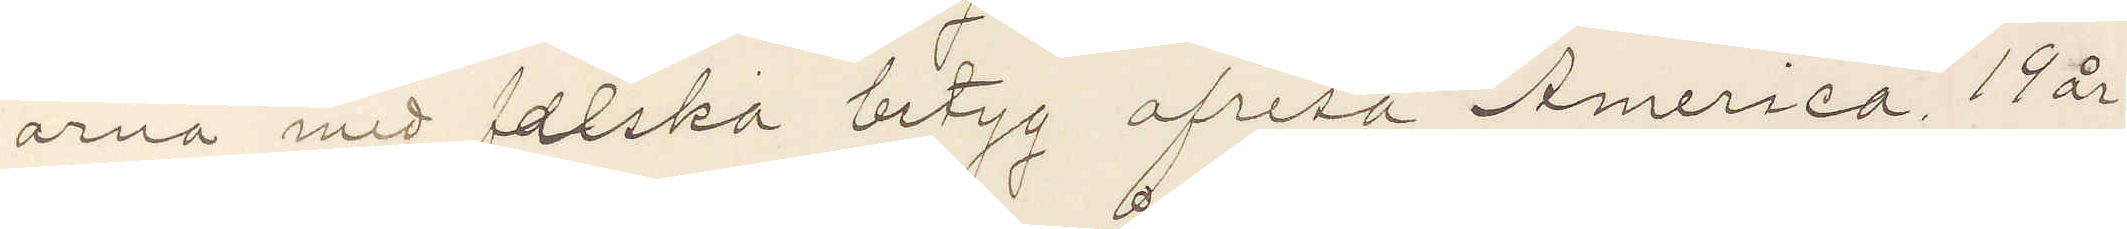ärna med falska betyg afresa America. 19 år
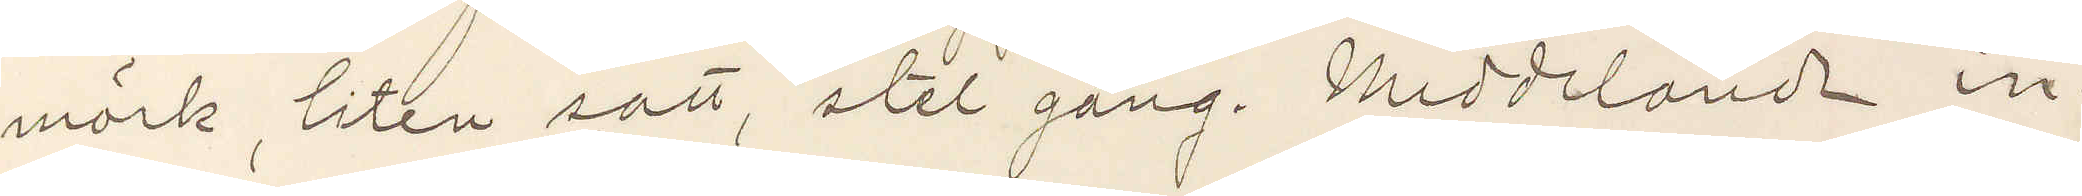mörk, liten satt, stel gång. Meddelande in¬
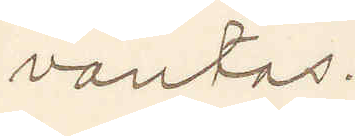väntas.
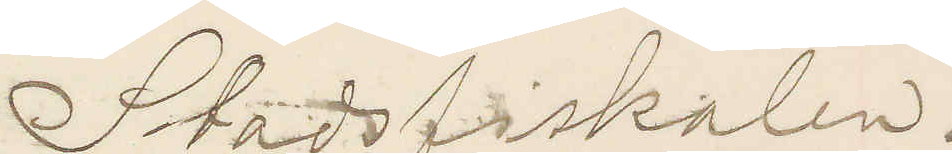Stadsfiskalen.
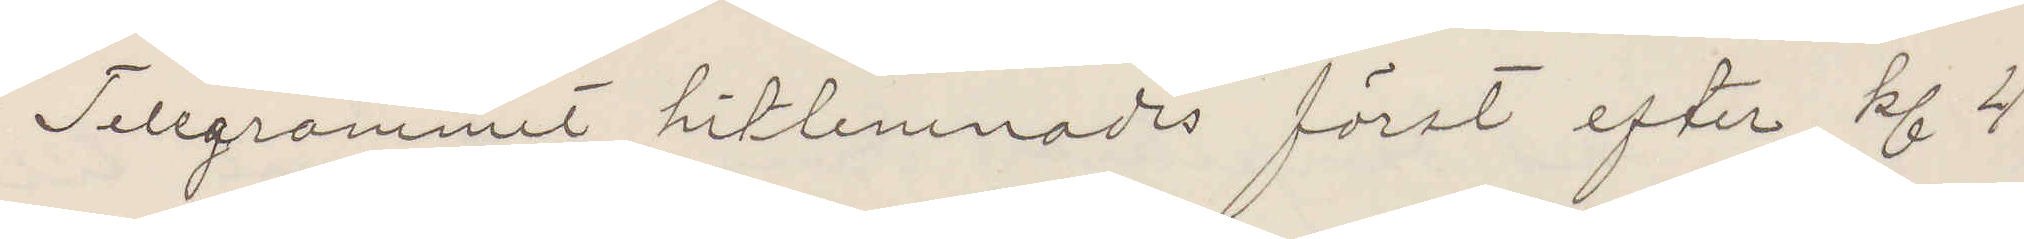Telegrammet hitlemnades först efter kl 4
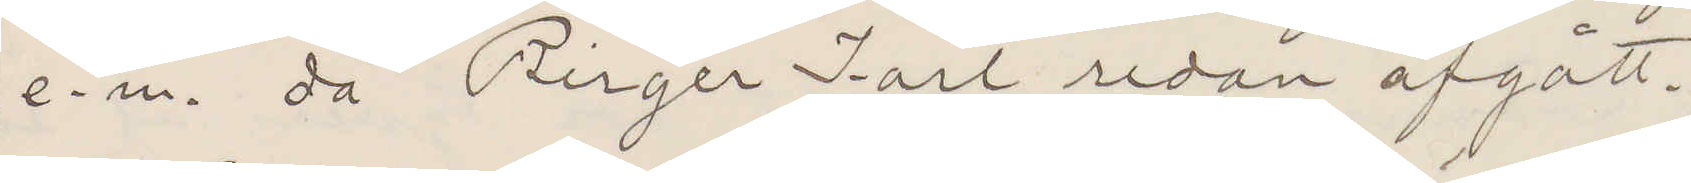e. m. då "Birger Jarl" redan afgått.
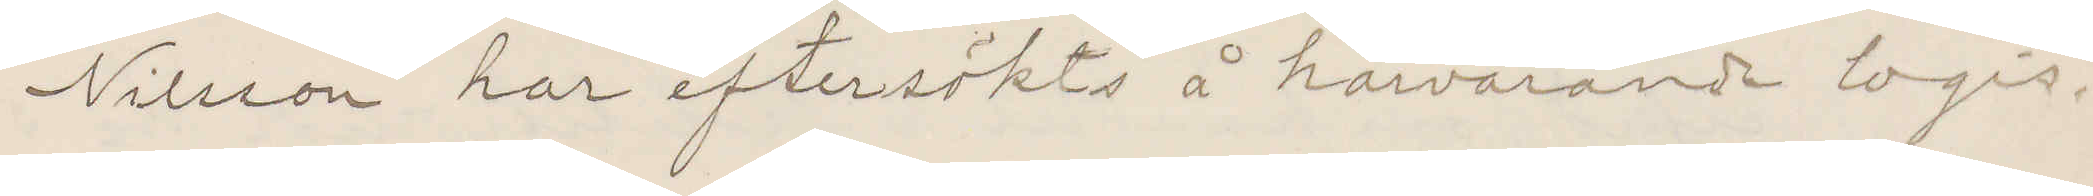Nilsson har eftersökts å härvarande logis.
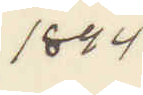1894
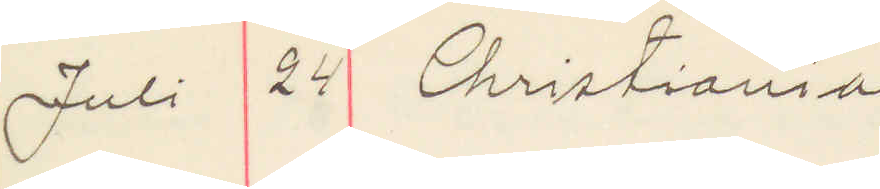Juli 24 Christiania
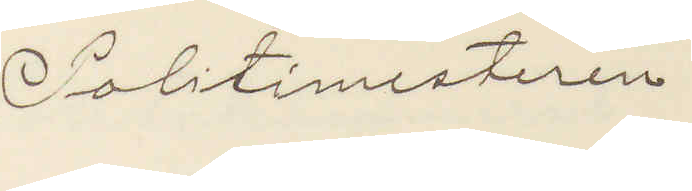Politimesteren
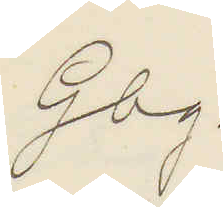Gbg.
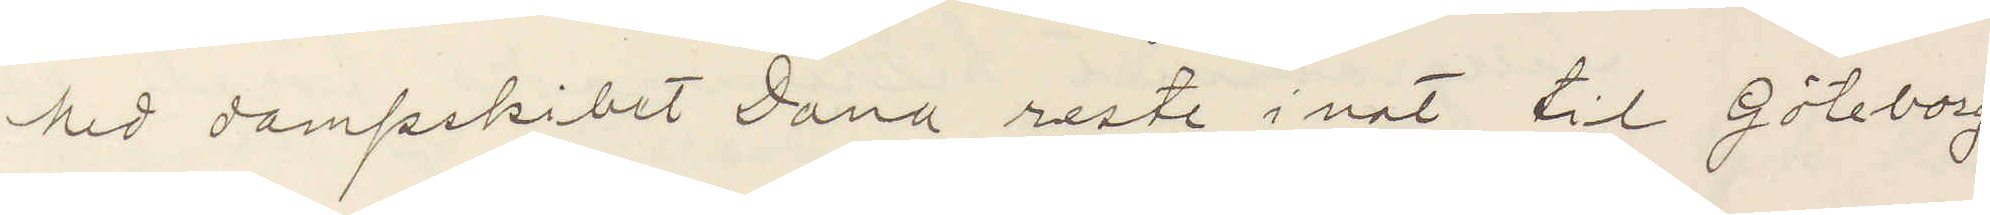Med dampskibet Dana reste i nat til Göteborg
